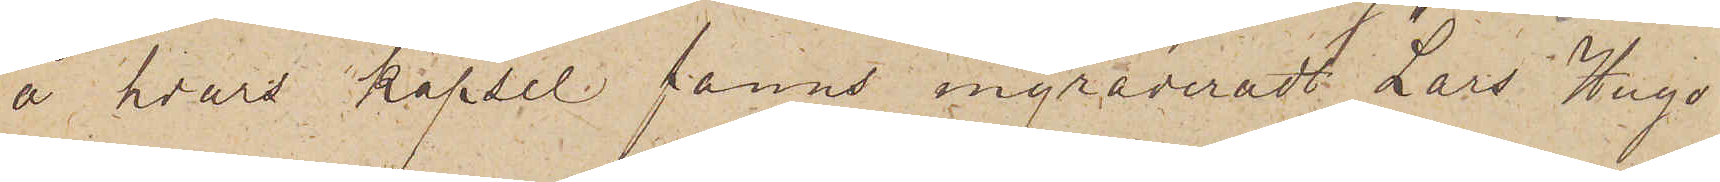å hvars kapsel fanns ingraveradt "Lars Hugo
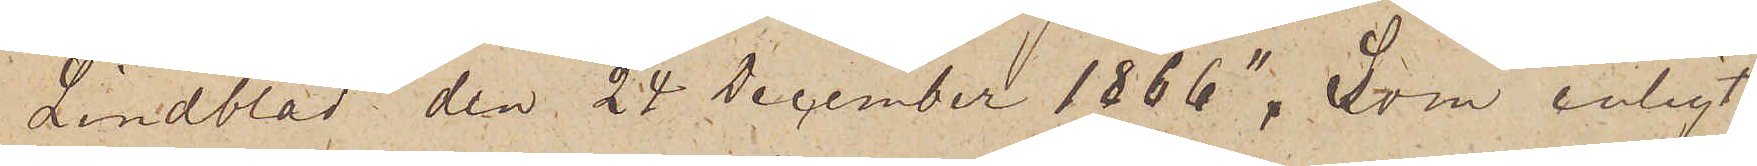Lindblad den 24 December 1866". Som enligt
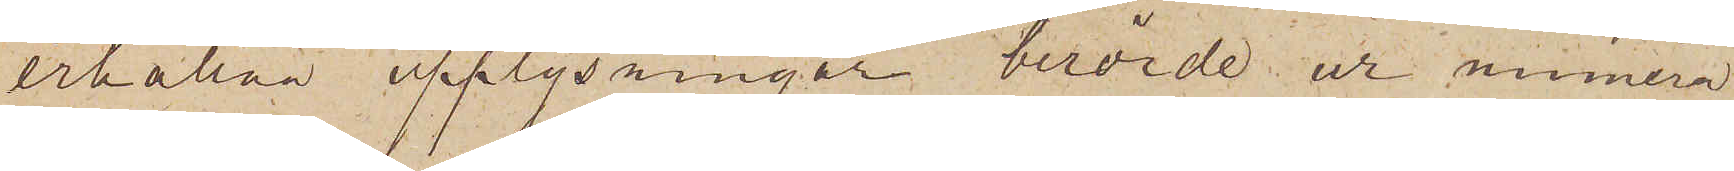erhållna upplysningar, berörde ur numera
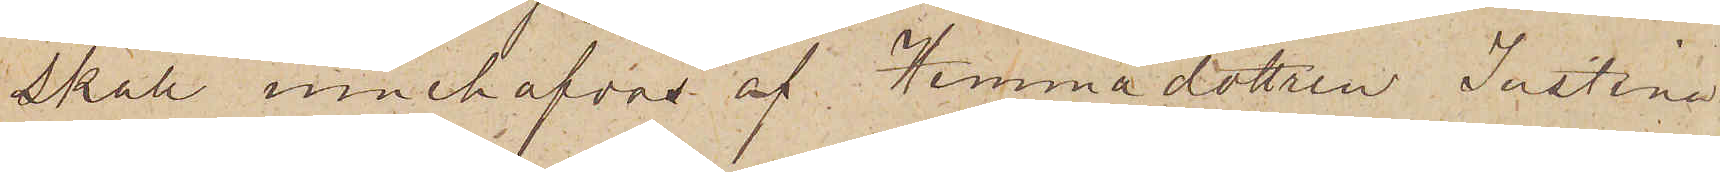skall innehafvas af Hemmadottren Justina
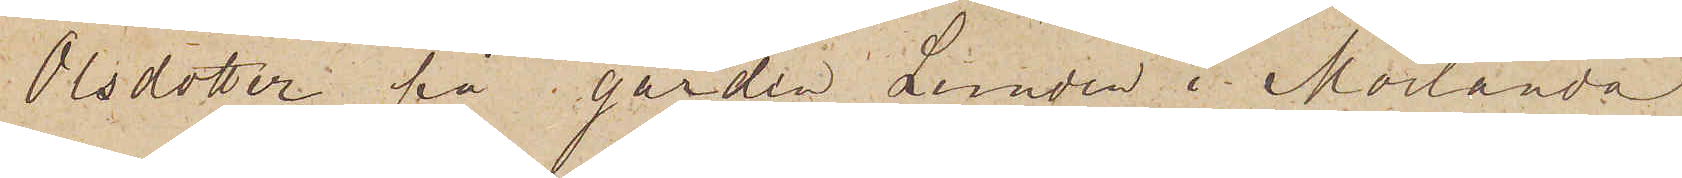Olsdotter på gården Lunden i Morlanda
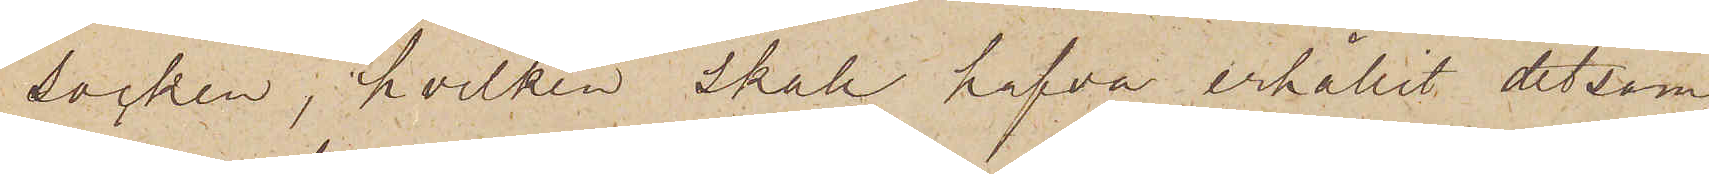socken, hvilken skall hafva erhållit detsam¬
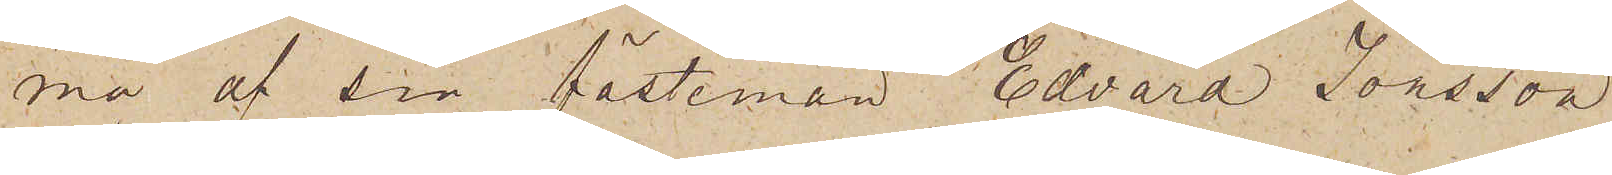ma af sin fästeman Edvard Jönsson
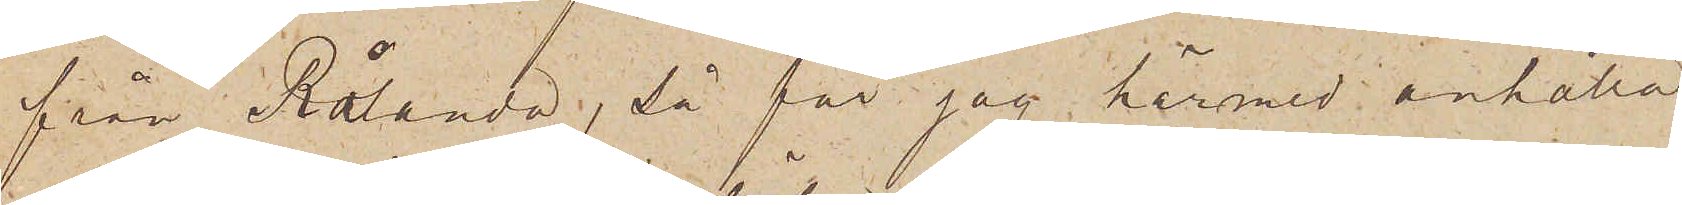från Rålanda, då får jag härmed anhålla,
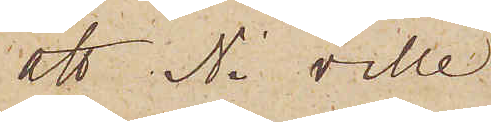att Ni ville
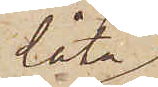låta
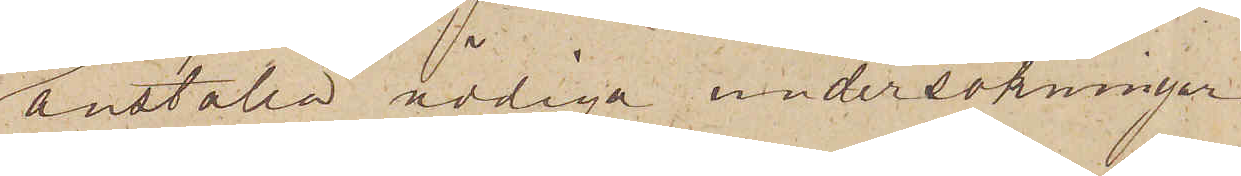anställa nödiga undersökningar
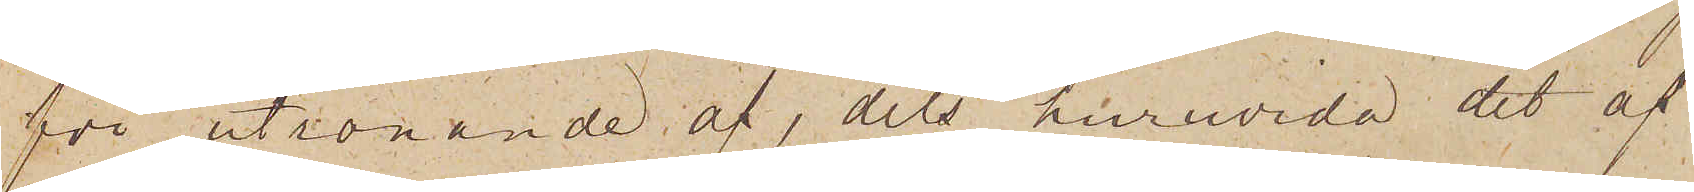för utrönande af, dels huruvida det af
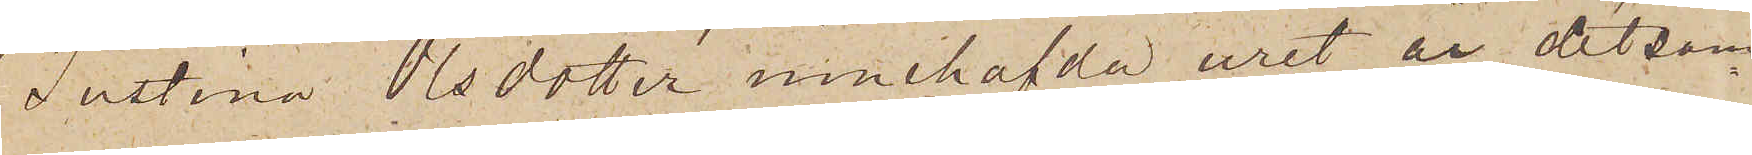Justina Olsdotter innehafvda uret är detsa¬
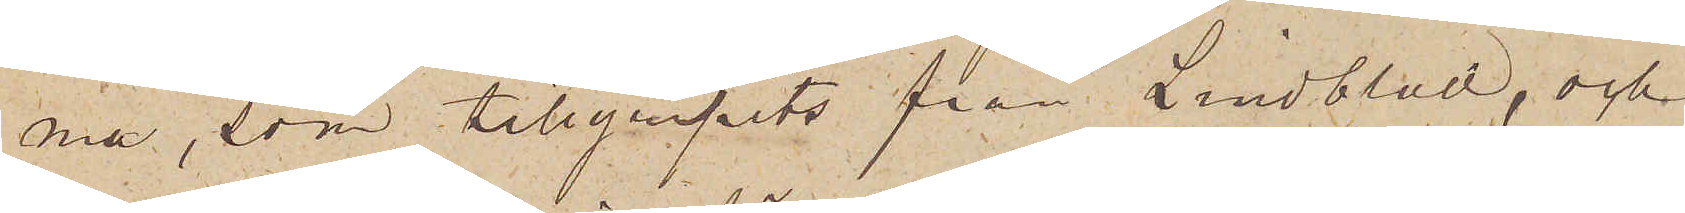ma, som tillgripits från Lindblad, och
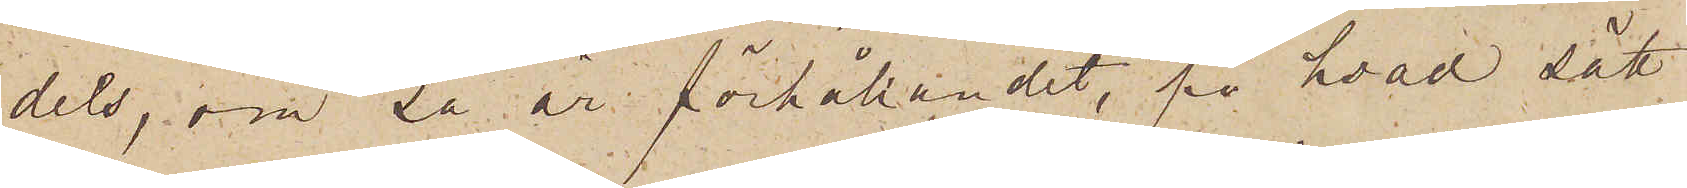dels, om så är förhållandet, på hvad sätt
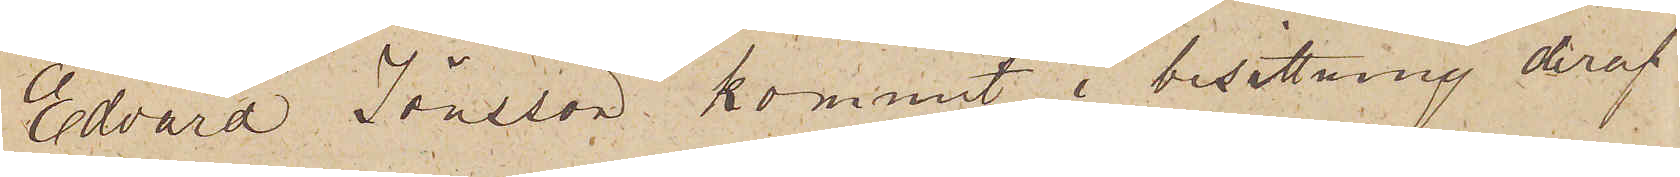Edvard Jönsson kommit i besittning deraf
